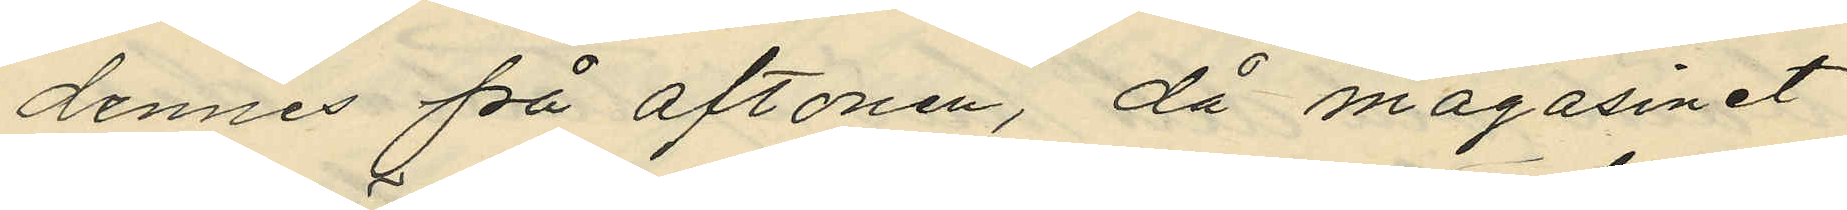dennes på aftonen, då magasinet
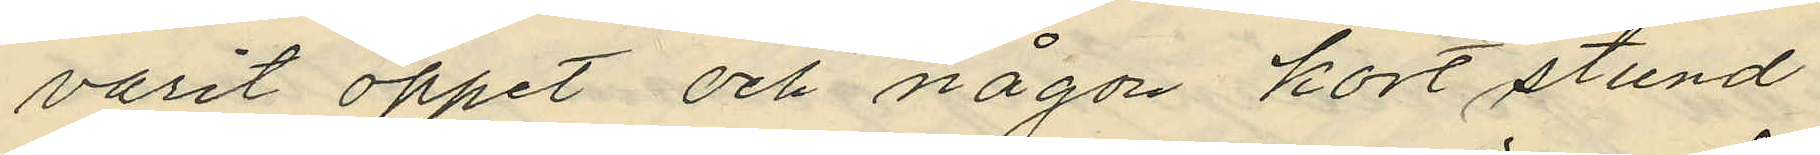varit öppet och någon kort stund
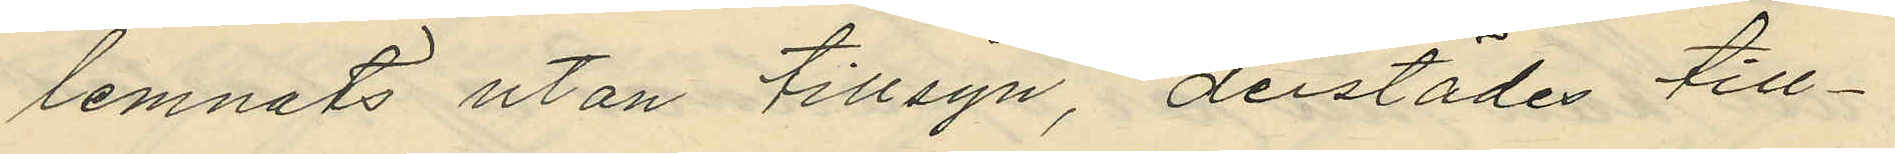lemnats utan tillsyn, derstädes till¬
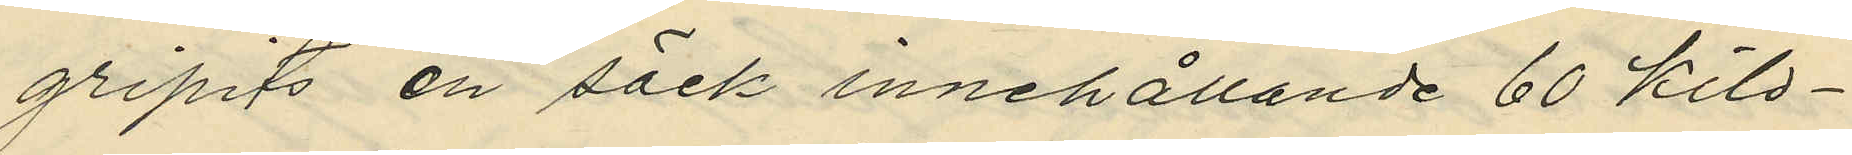gripits en säck innehållande 60 kilo¬
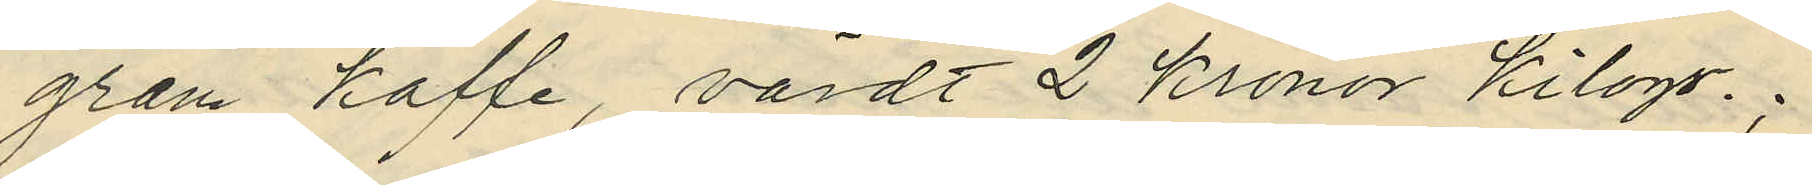gram kaffe, värdt 2 kronor kilogr. ;
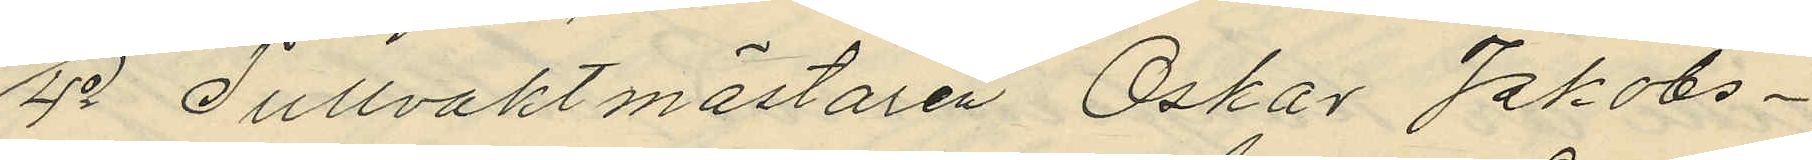4o Tullvaktmästaren Oskar Jakobs¬
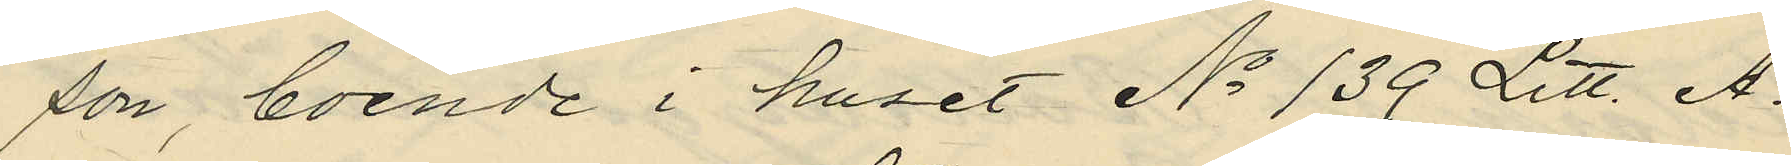son, boende i huset No 139 Litt. A.
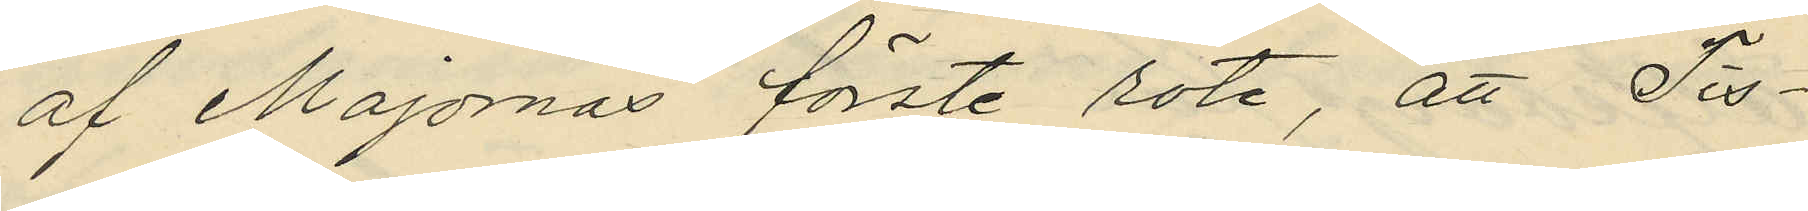af Majornas förste rote, att Tis¬
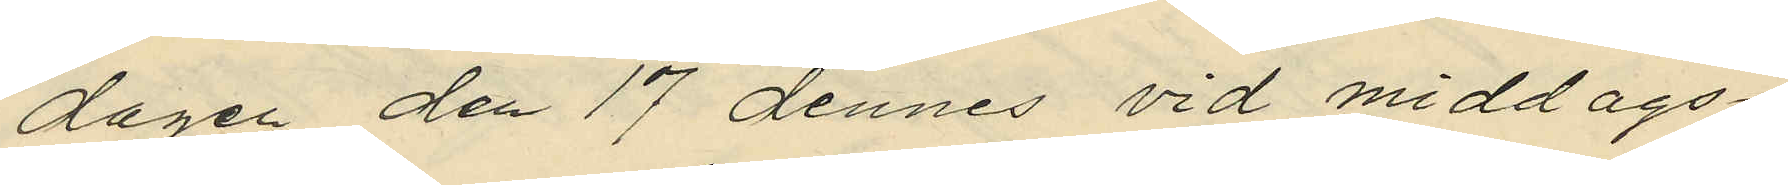dagen den 17 dennes vid middags¬
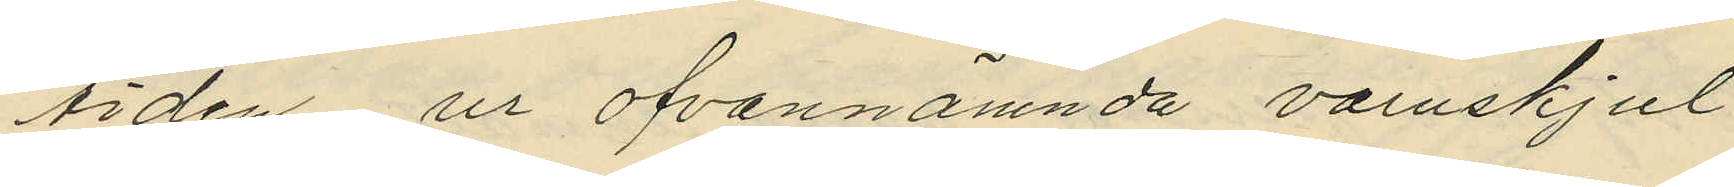tiden, ur ofvannämnda varuskjul
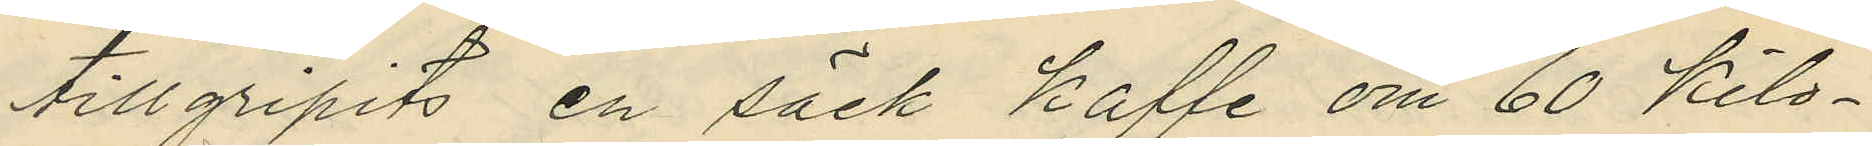tillgripits en säck kaffe om 60 kilo¬
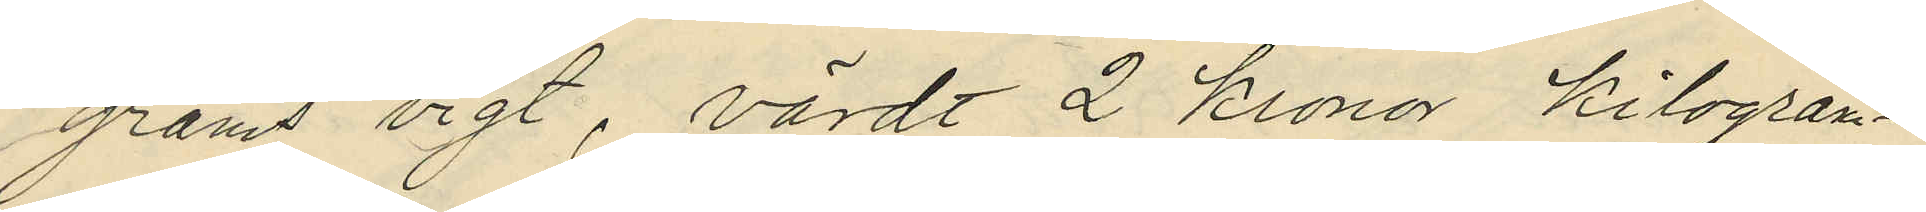grams vigt, värdt 2 kronor kilogram¬
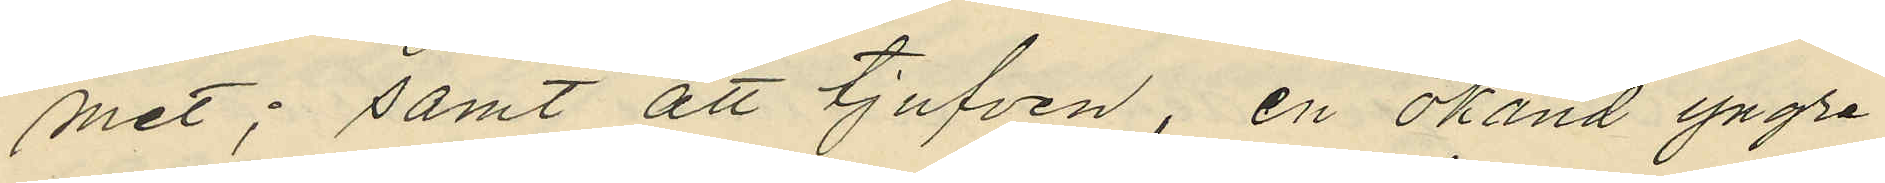met; samt att tjufven, en okänd yngre
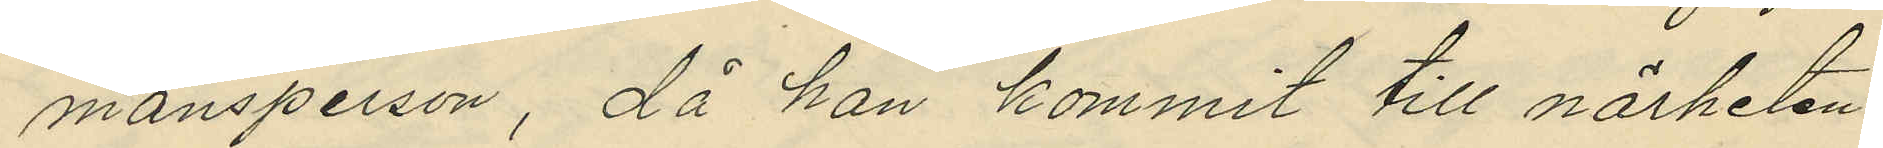mansperson, då han kommit till närheten
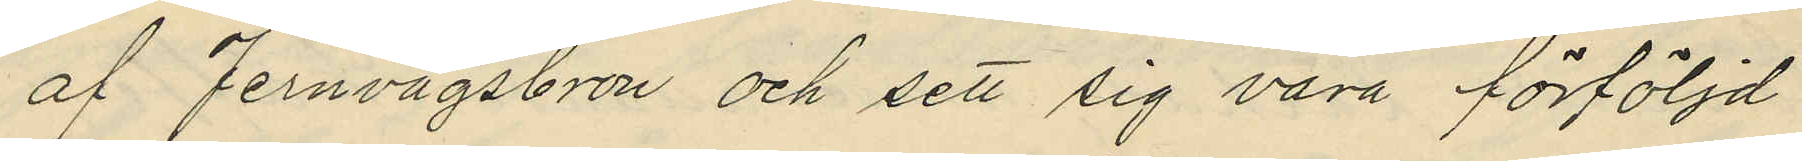af Jernvågsbron och sett sig vara förföljd
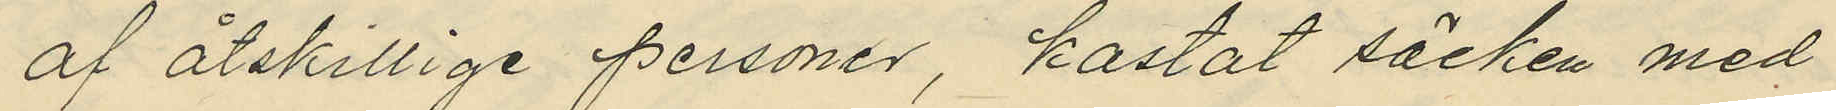af åtskillige personer, kastat säcken med
